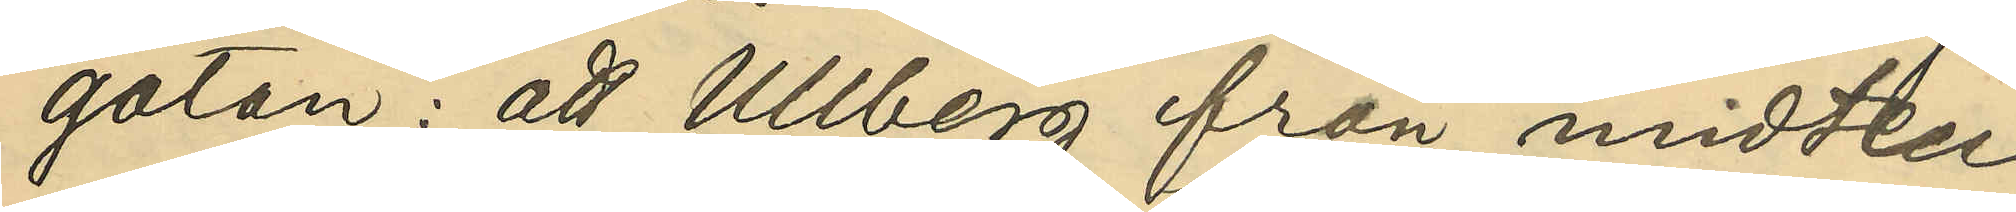gatan: att Ullberg från midten
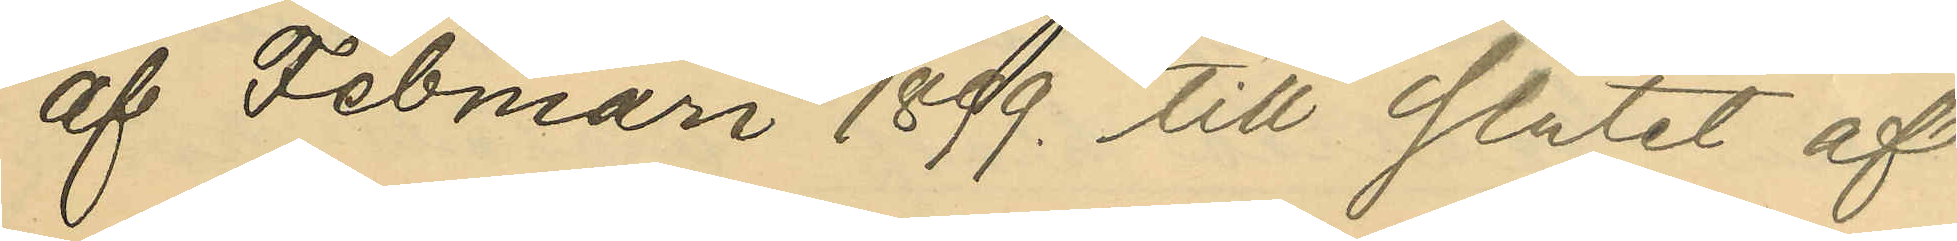af Februari 1899. till slutet af
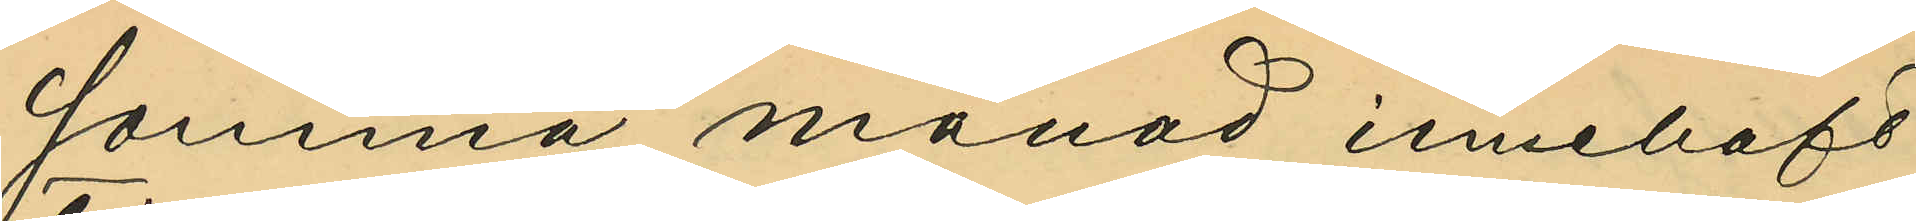samma månad innehaft
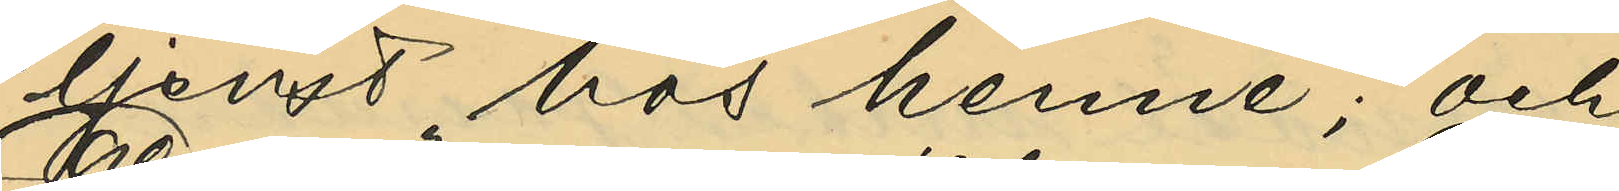tjenst hos henne; och
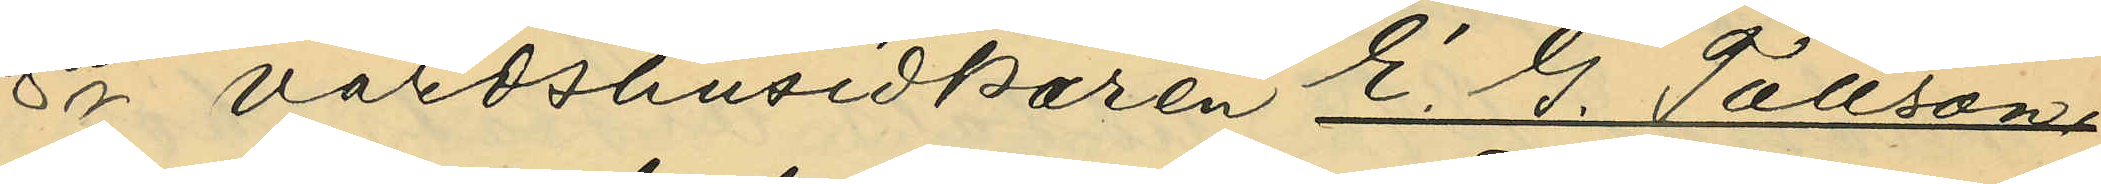8o värdshusidkaren E. G. Tauson,
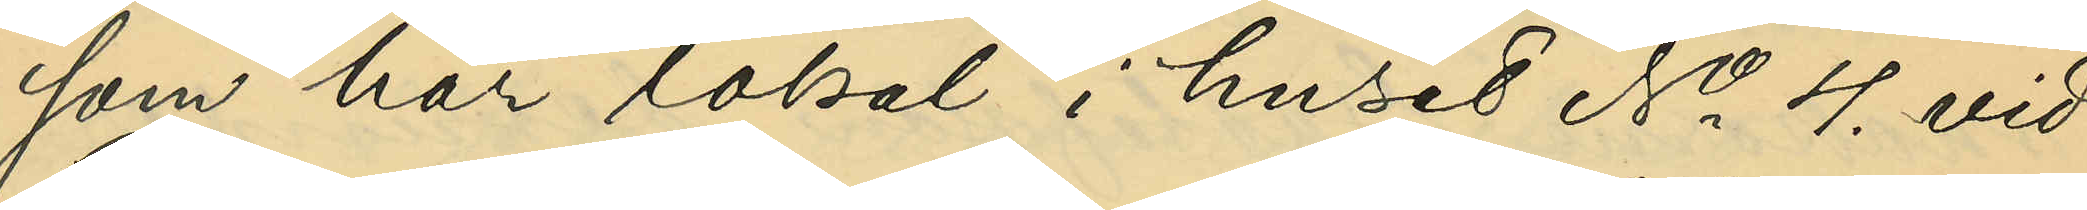som har lokal i huset No 4 vid
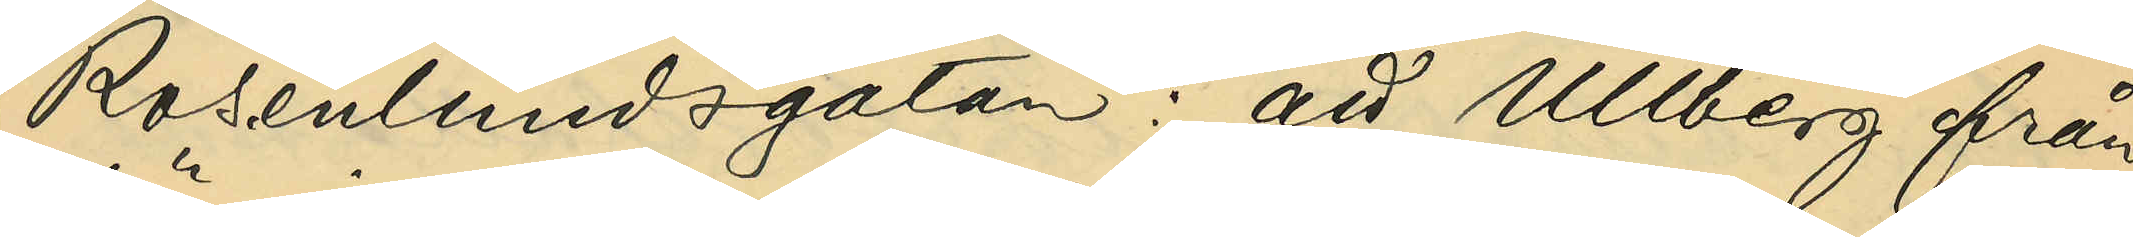Rosenlundsgatan: att Ullberg från
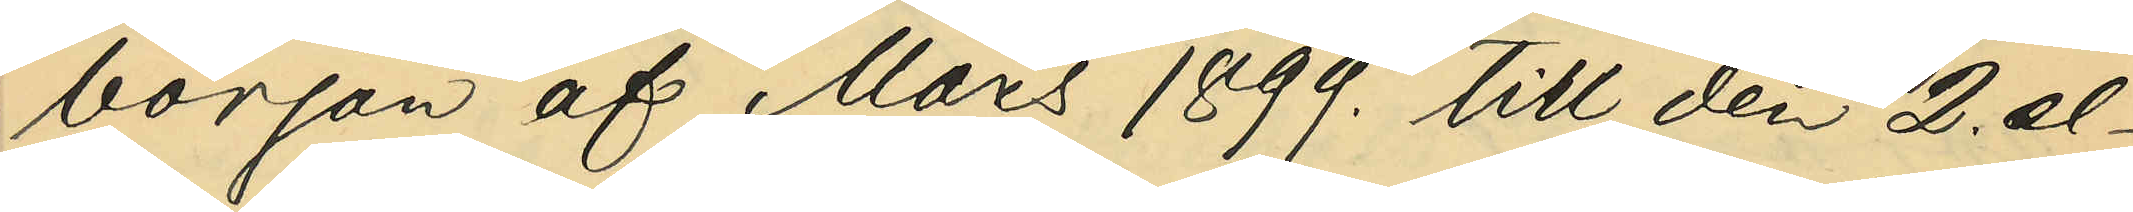början af Mars 1899. till den 2. el¬
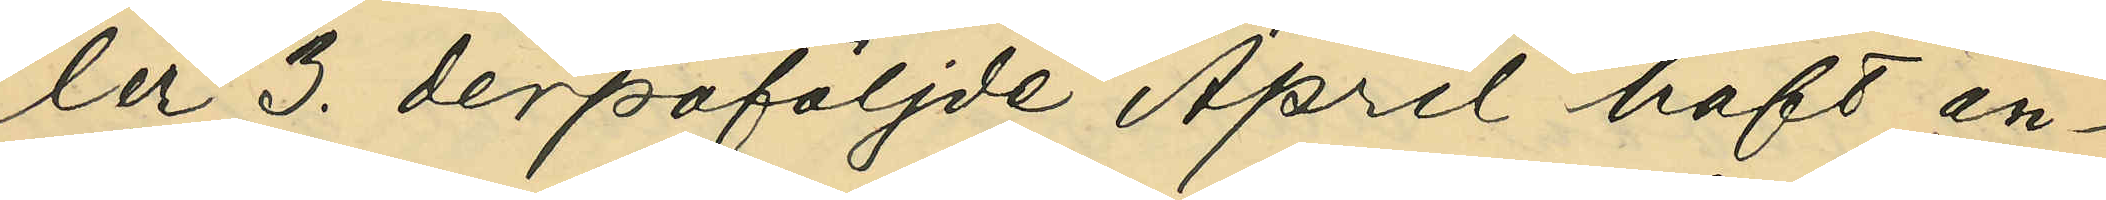ler 3. derpåföljde April haft an¬
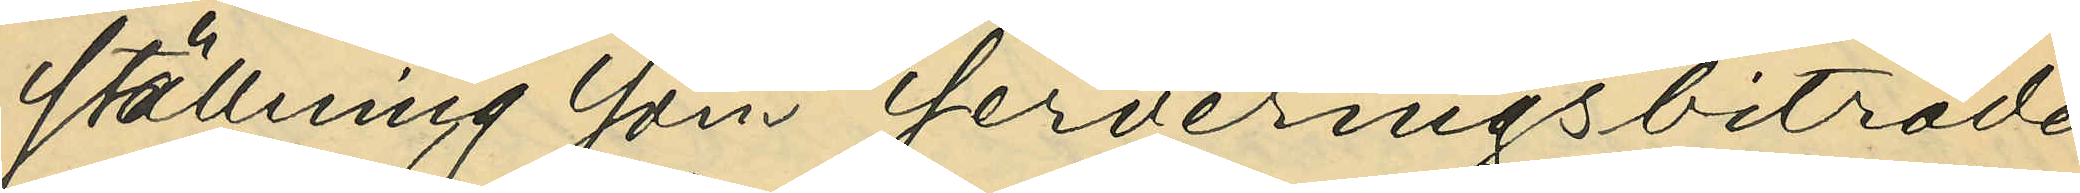ställning som serveringsbiträde
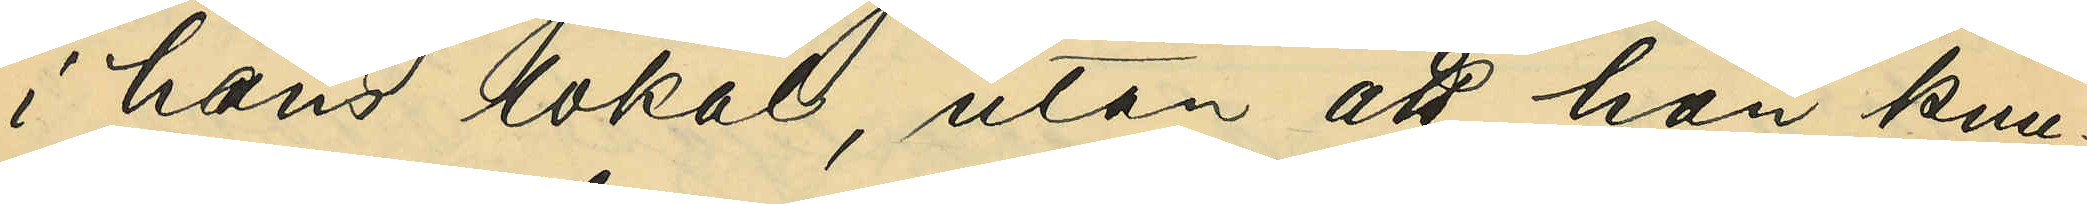i hans lokal, utan att han kun¬
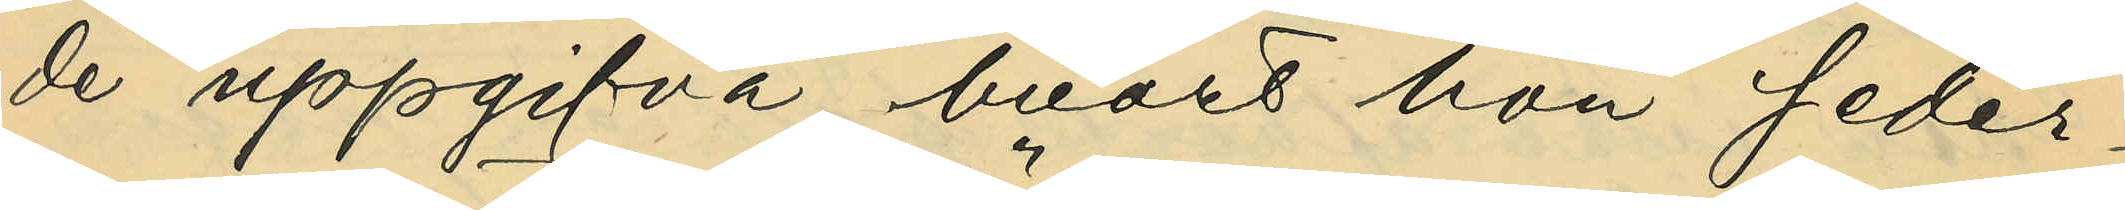de uppgifva, hvart hon seder¬
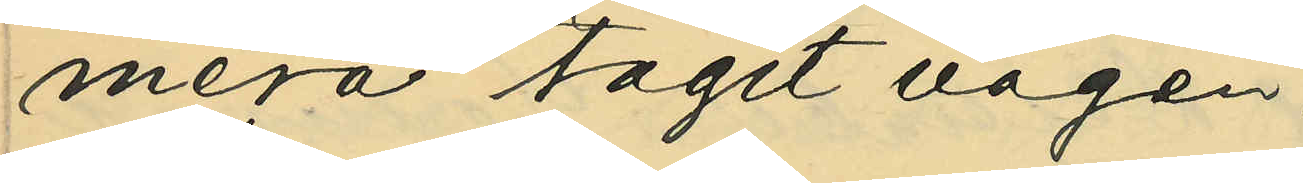mera tagit vägen.
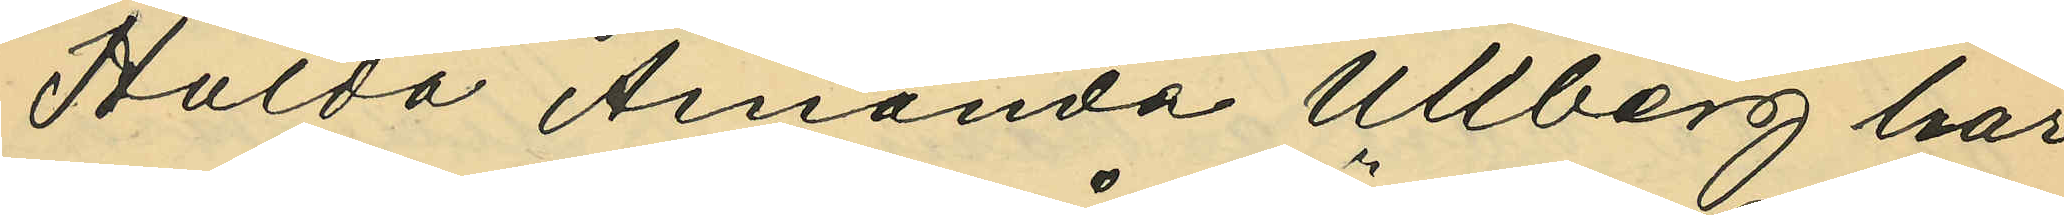Hulda Amanda Ullberg har
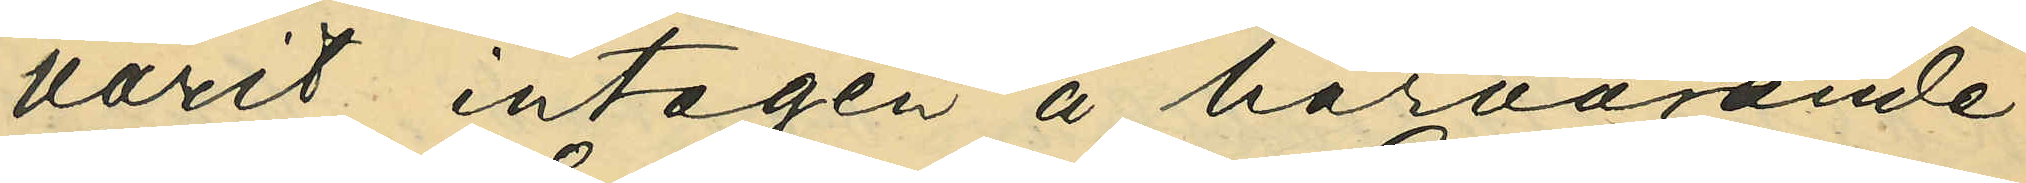varit intagen å härvarande
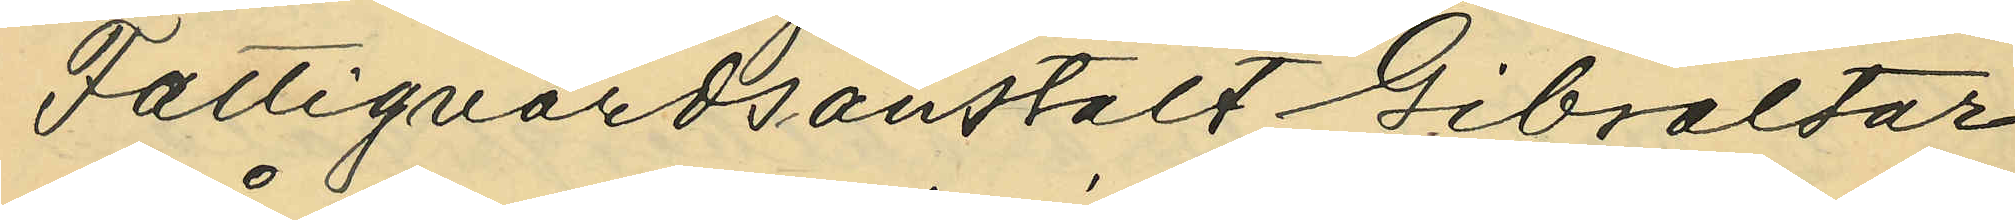Fattigvårdsanstalt Gibraltar
